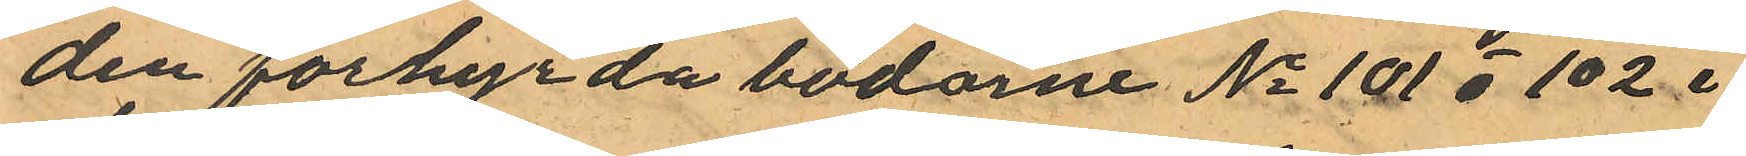den förhyrda bodarne No 101 o 102 i
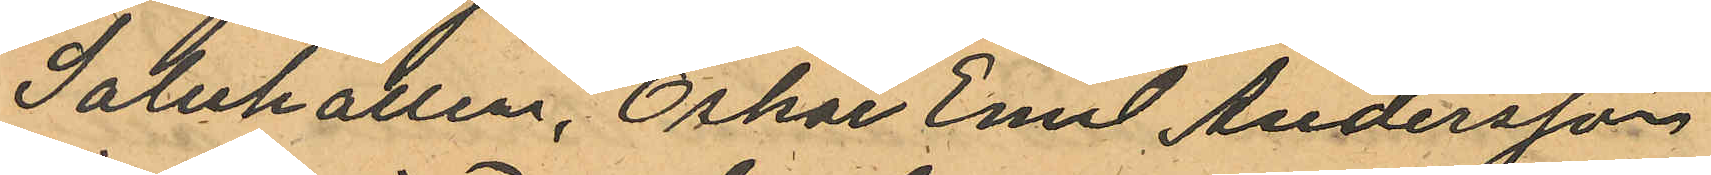Saluhallen, Oskar Emil Andersson
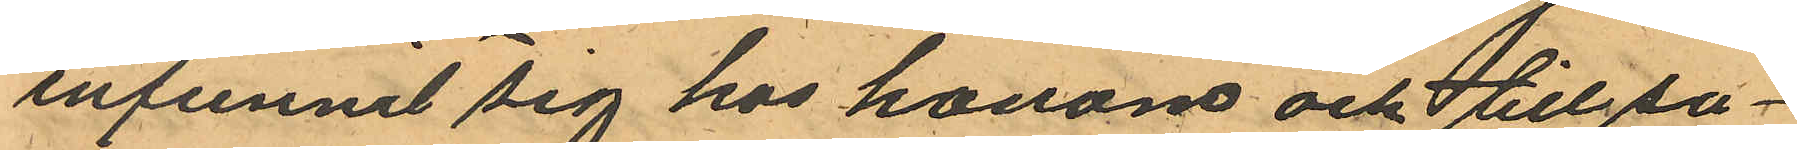infunnit sig hos honom och tillsa¬
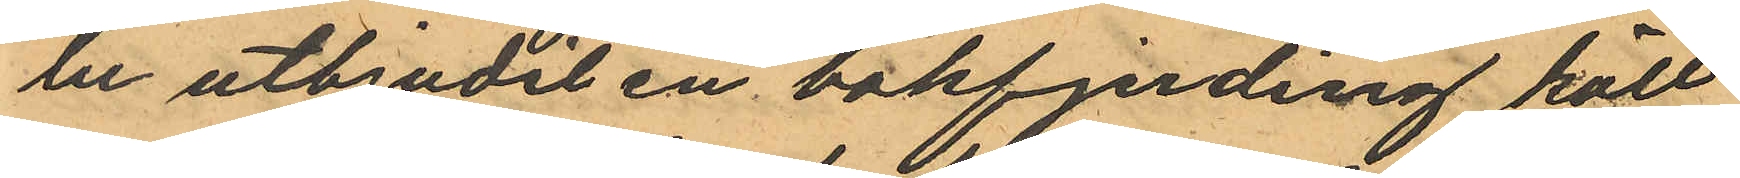lu utbjudit en bakfjerding kött
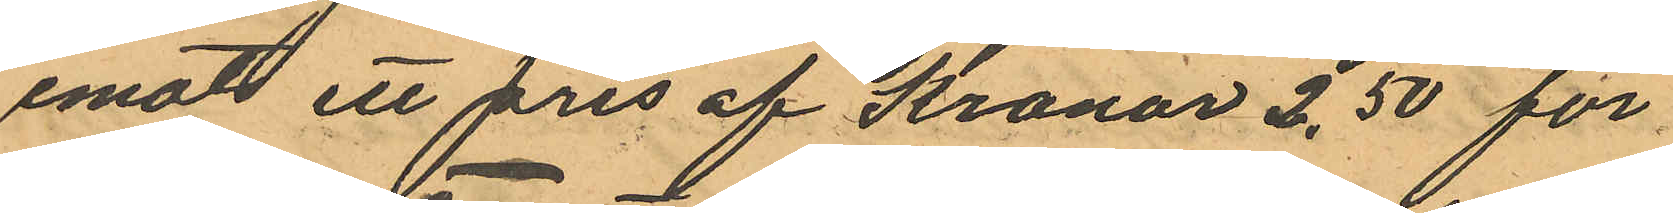emot ett pris af Kronor 2,50 för
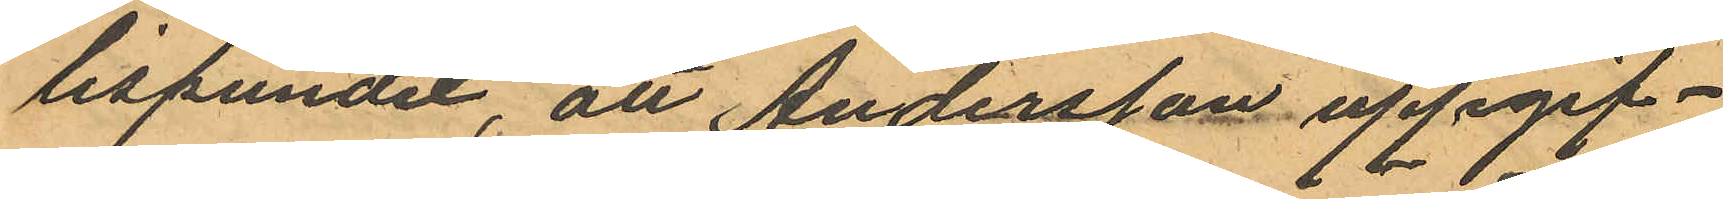lispundet, att Andersson uppgif¬
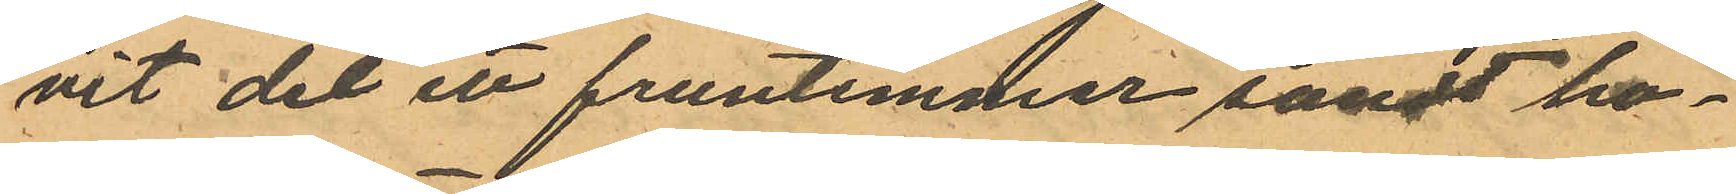vit det ett fruntimmer sändt ho¬
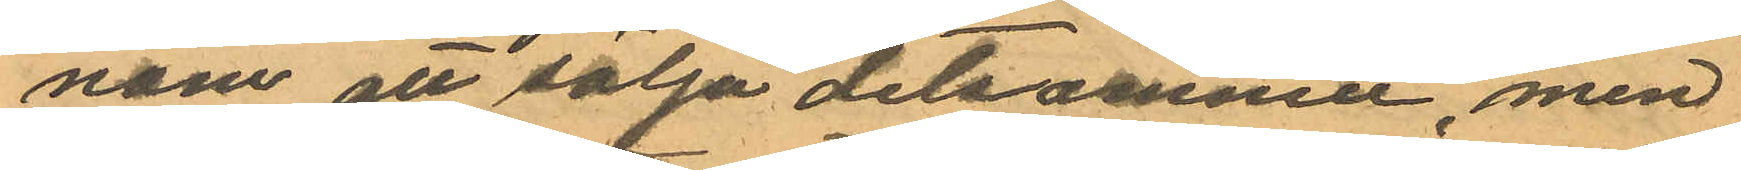nom all sälja detsamma, men
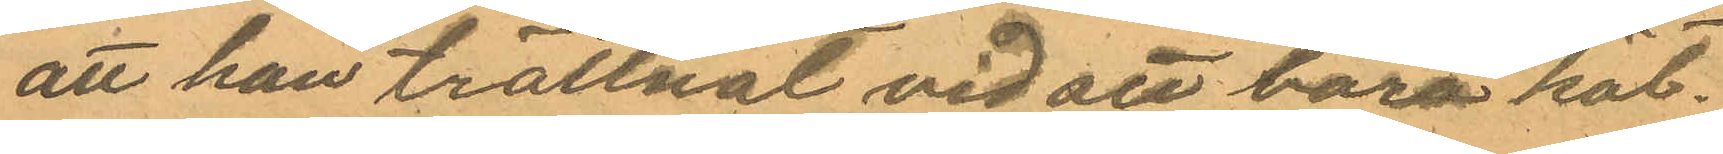att han tröttnat vid att bara köt¬
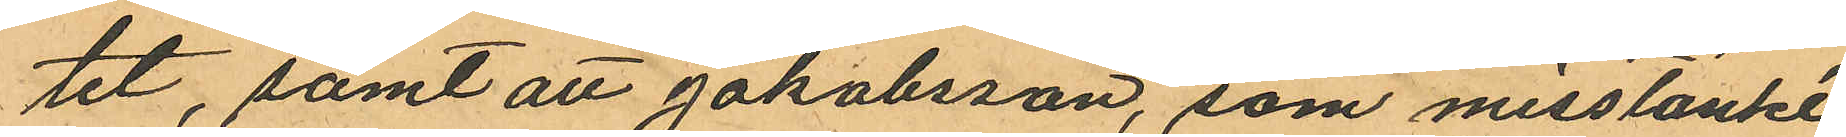tet, samt att Jakobsson, som misstänkt
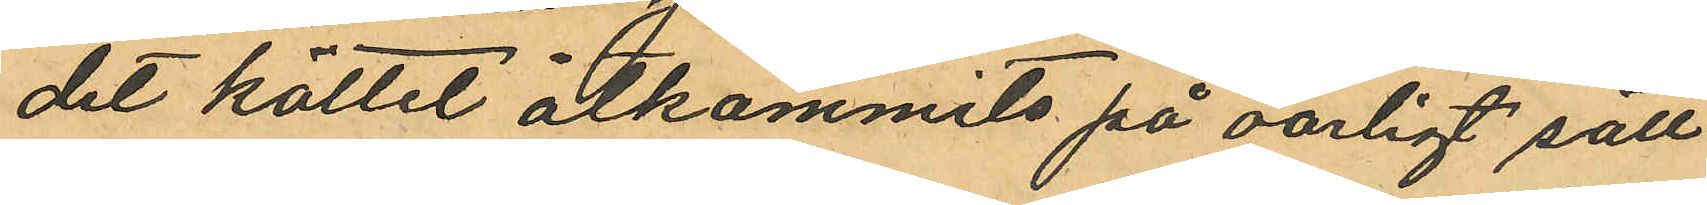det köttet åtkommits på oärligt sätt
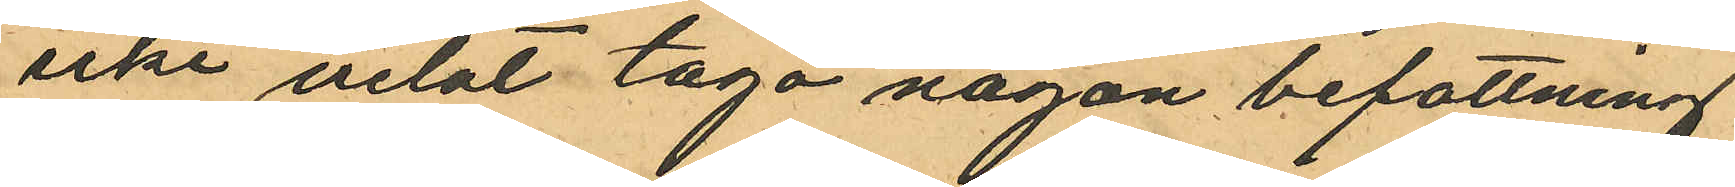icke velat taga någon befattning
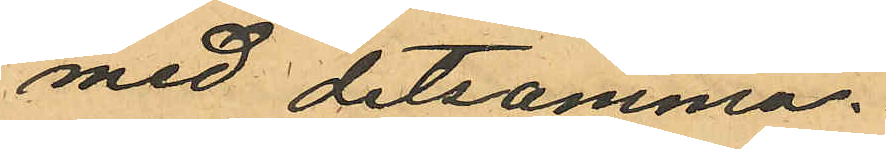med detsamma.
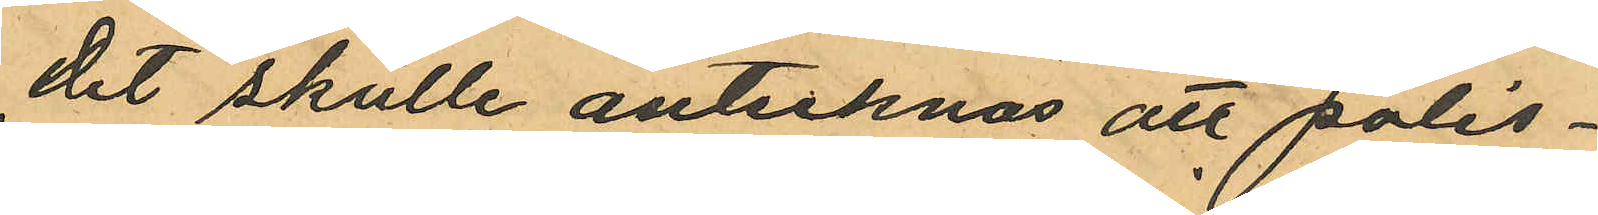Det skulle antecknas att polis¬
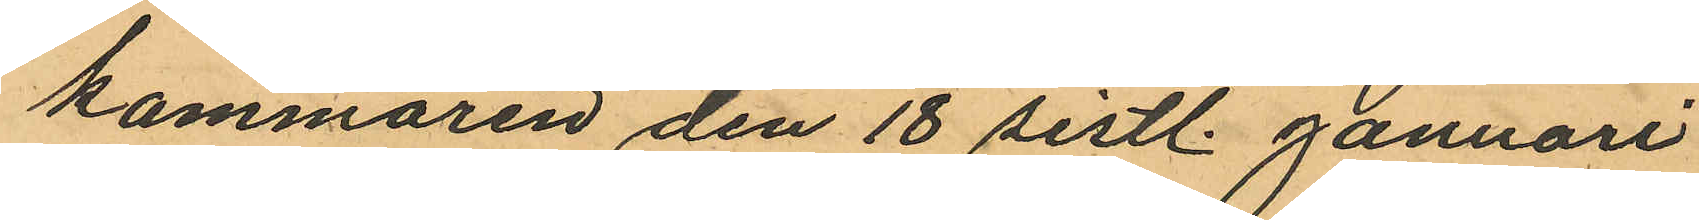kammaren den 18 sistl. Januari
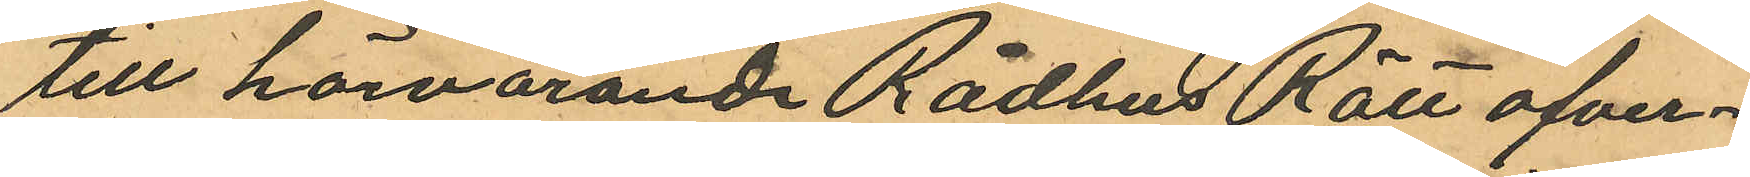till härvarande Rådhus Rätt ofver¬
